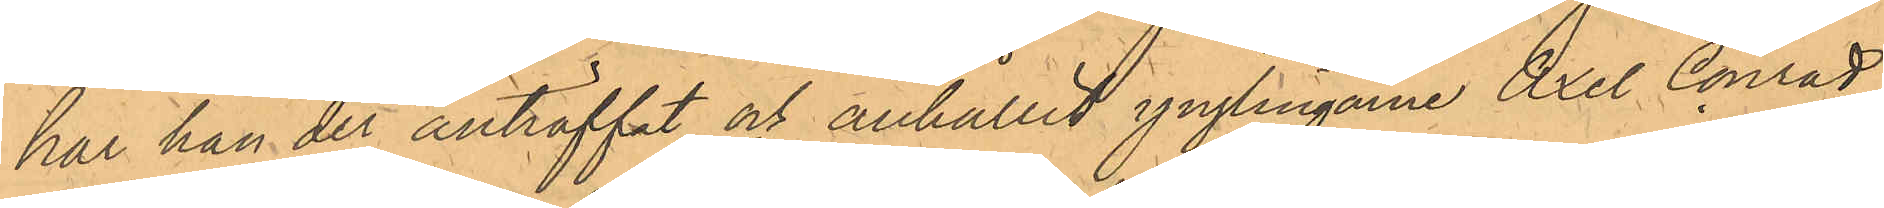har han der anträffat och anhållit ynglingarne Axel Conrad
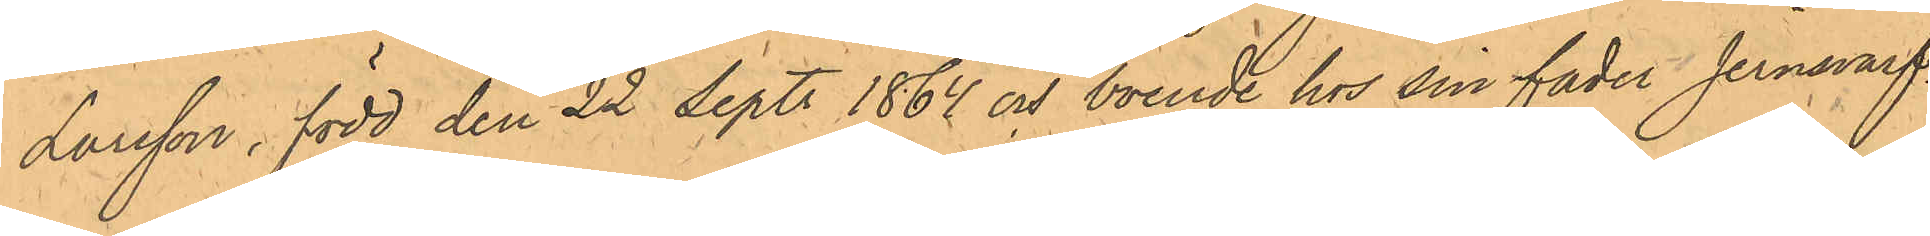Larsson, född den 22 Sept. 1864 och boende hos sin fader Jernsvarf¬
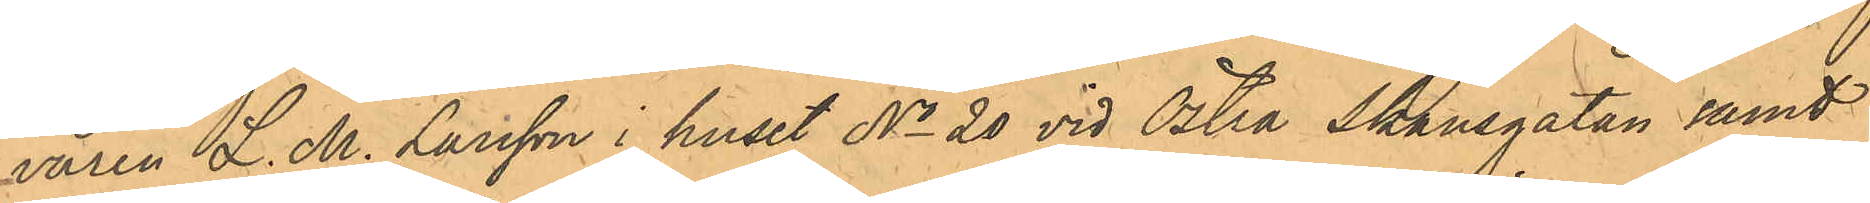varen L. M. Larsson i huset No  20 vid Östra Skansgatan samt 
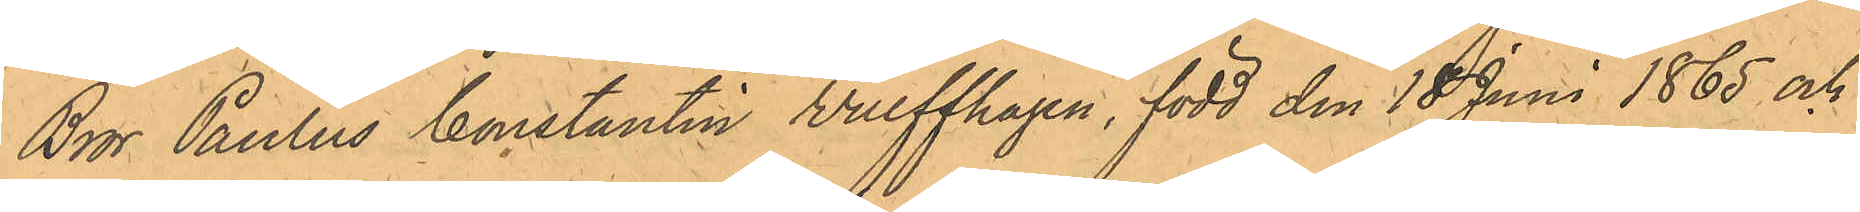Bror Paulus Constantin Wulffhagen, född den 18 Juni 1865 och
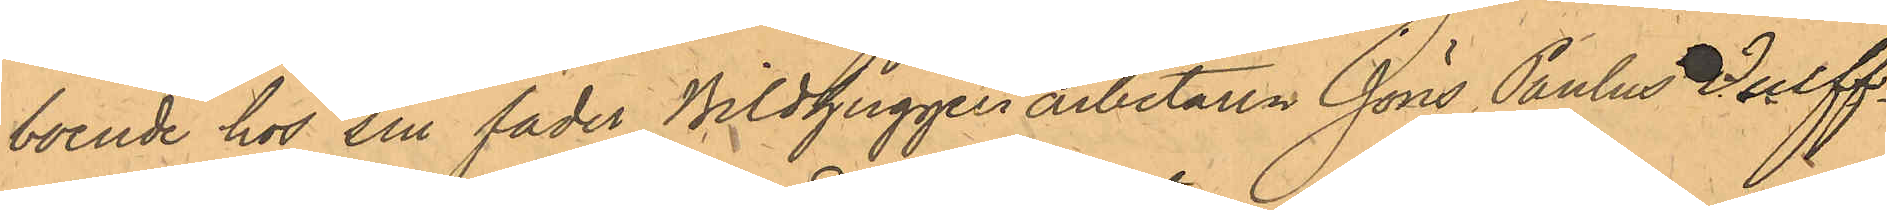boende hos sin fader Bildhuggeriarbetaren Jöns Paulus Wulff¬
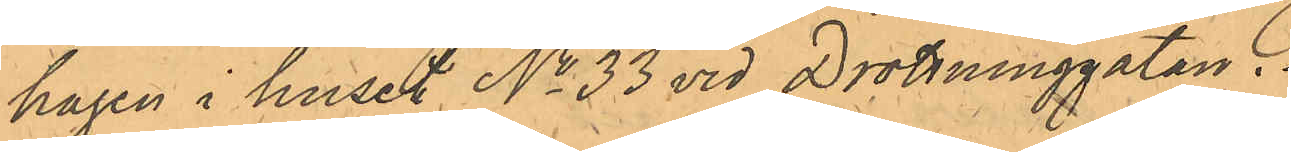hagen  i huset No 33 vid Drottninggatan.
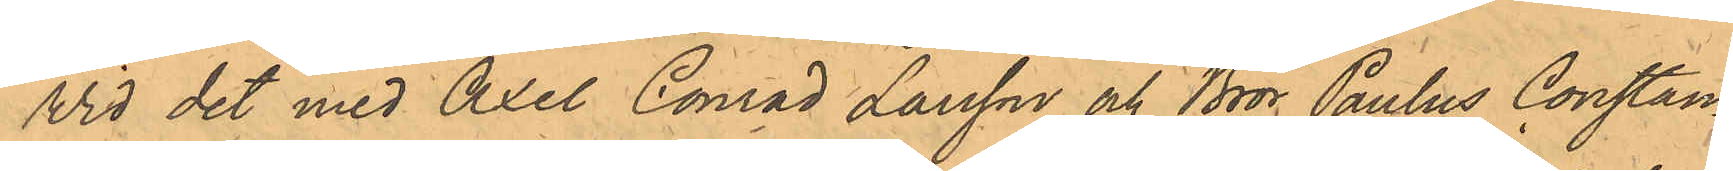Wid det med Axel Conrad Larsson och Bror Paulus Constan¬
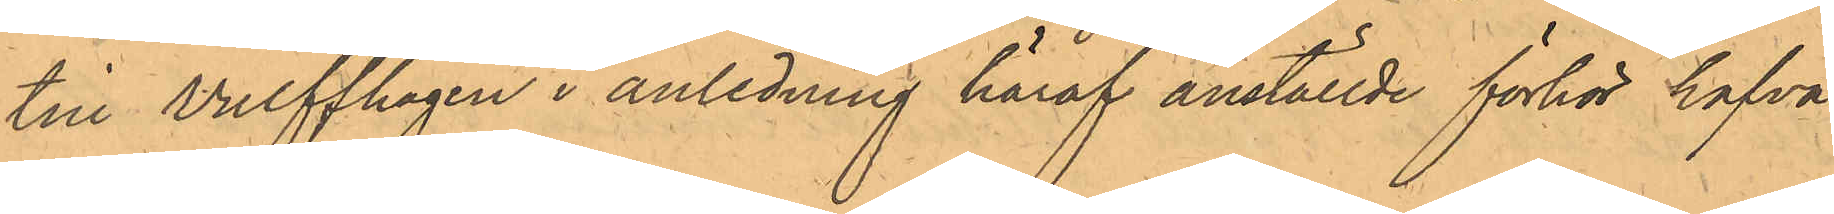tin Wulffhagen i anledning häraf anställde förhör hafva
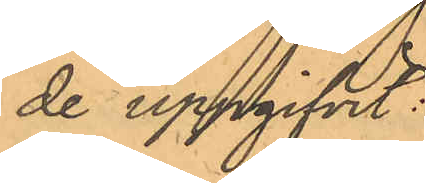de uppgifvit:
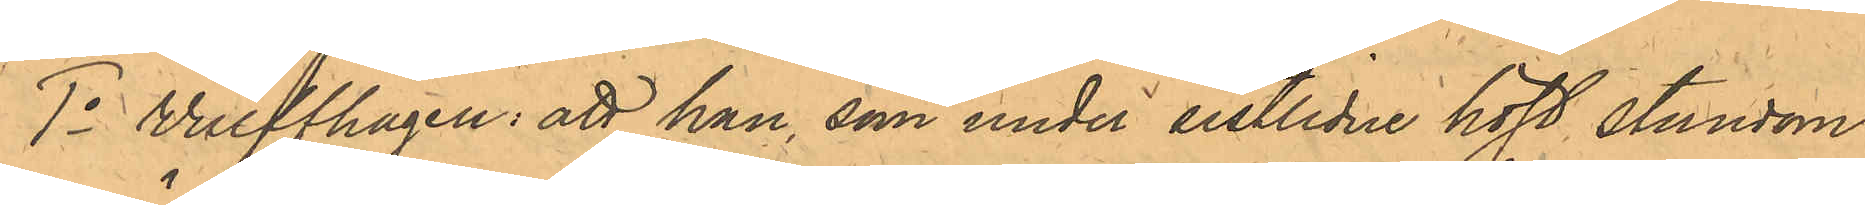1o Wulffhagen: att han, som under sistlidne höst stundom
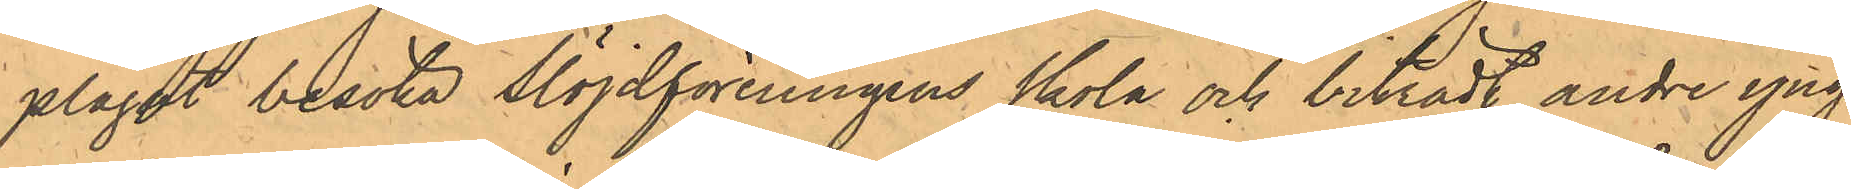plägat besöka Slöjdföreningens Skola och biträdt andre yng¬
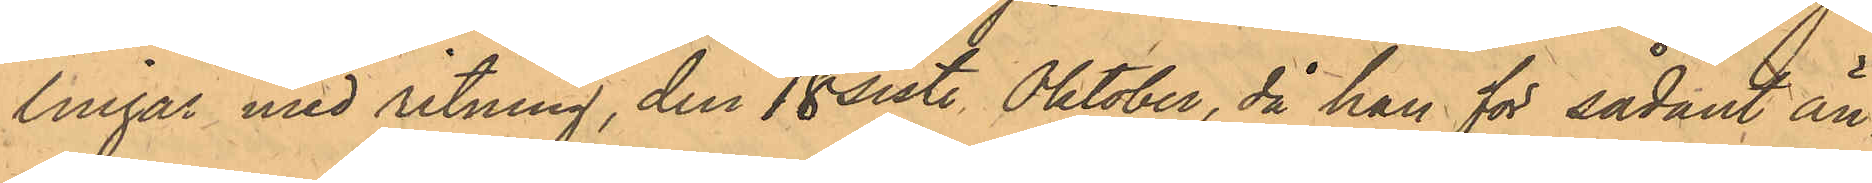lingar med ritning, den 18 sistl. Oktober, då han för sådant än¬
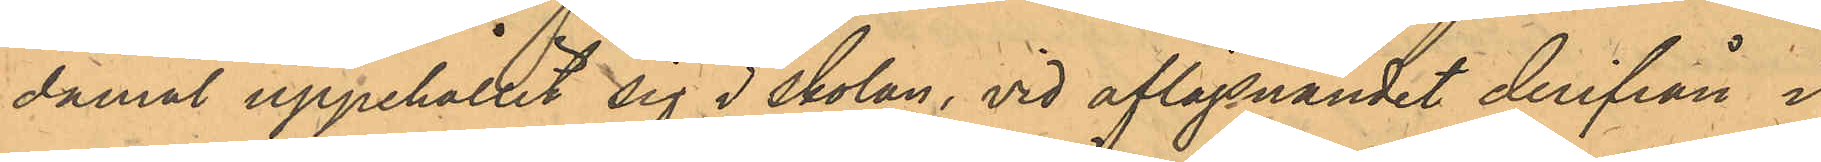mål uppehållit sig i skolan, vid aflägsnandet derifrån i
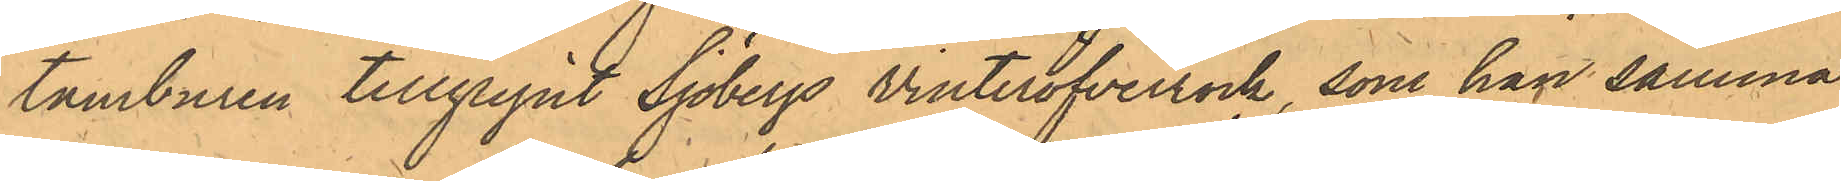tamburen tillgripit Sjöbergs vinteröfverrock, som han samma
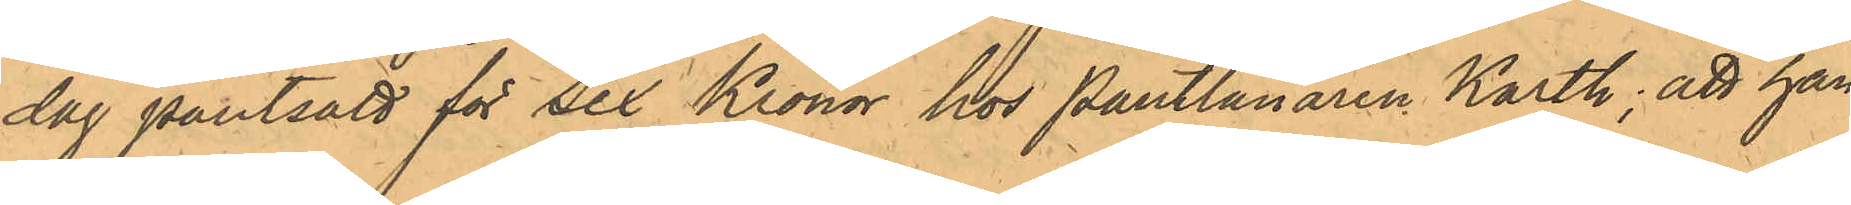dag pantsatt för Sex Kronor hos Pantlånaren Karth; att han
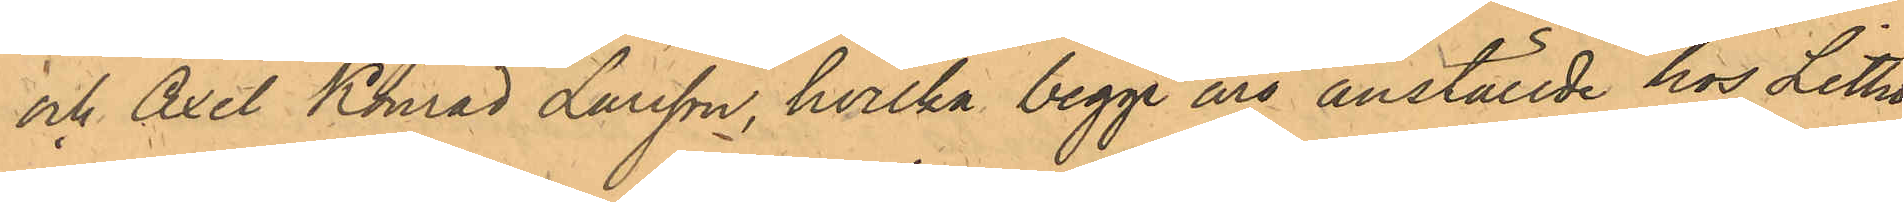och Axel Konrad Larsson, hvilka begge äro anställde hos Litho¬
